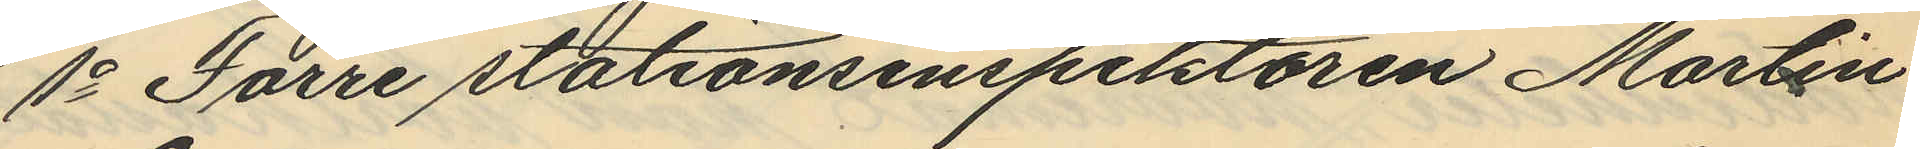1o Förre stationsinspektören Martin
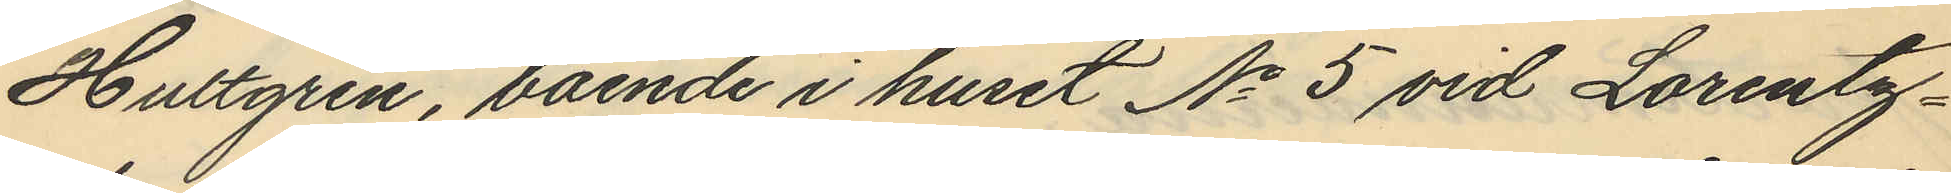Hultgren, boende i huset No 5 vid Lorentz¬
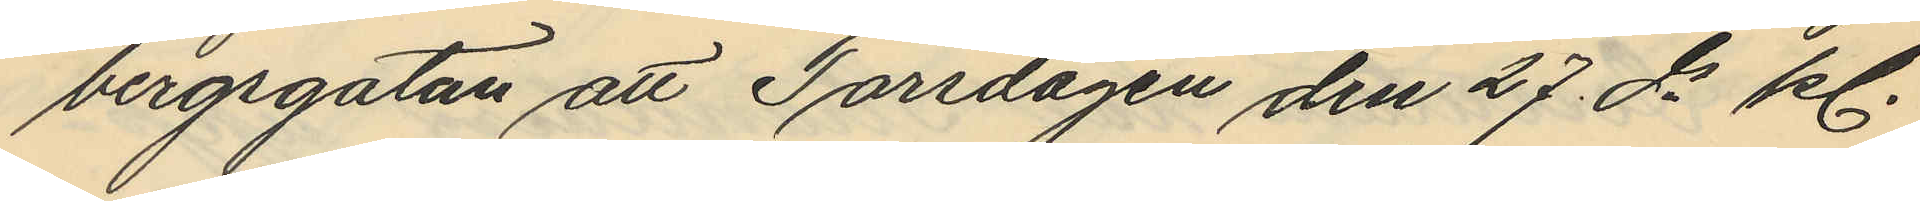bergsgatan att Torsdagen den 27 ds kl.
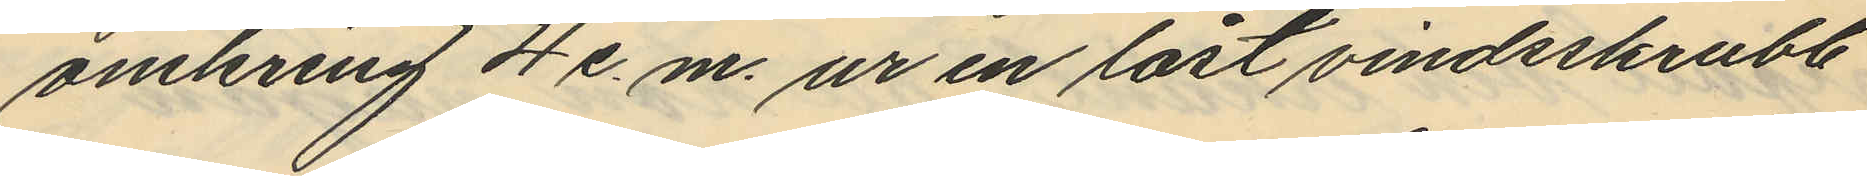omkring 4 e. m. ur en låst vindsskrubb
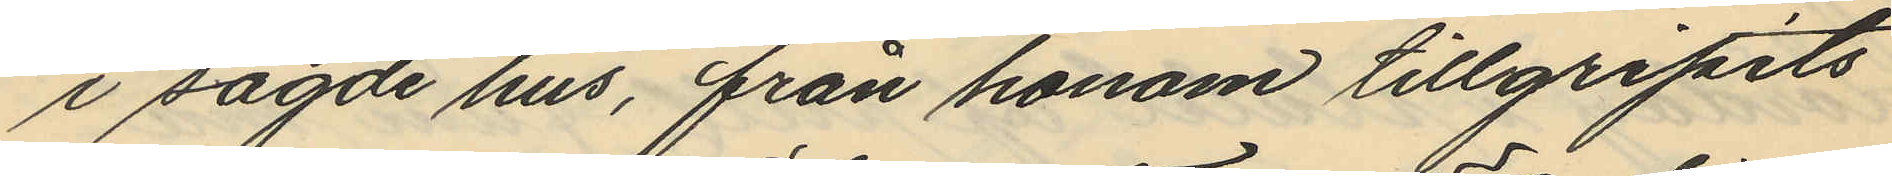i sagde hus, från honom tillgripits
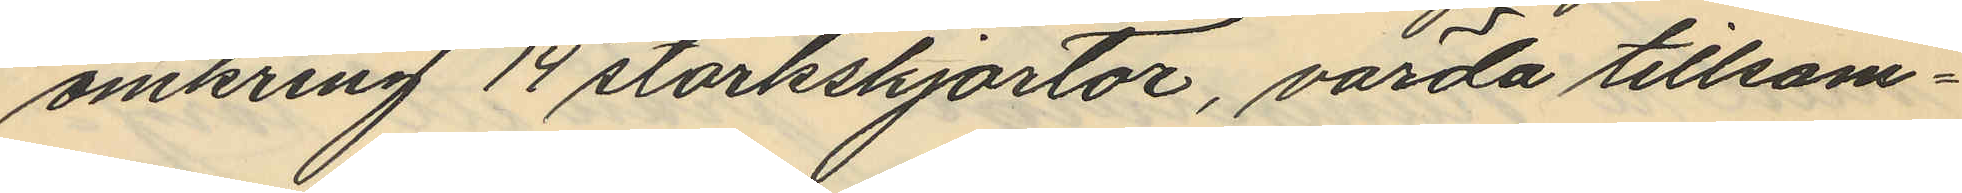omkring 14 stärkskjortor, värda tillsam¬
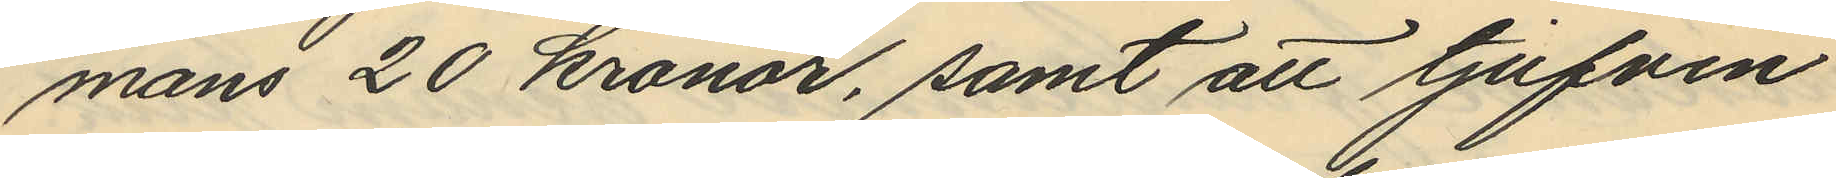mans 20 kronor, samt att tjufven
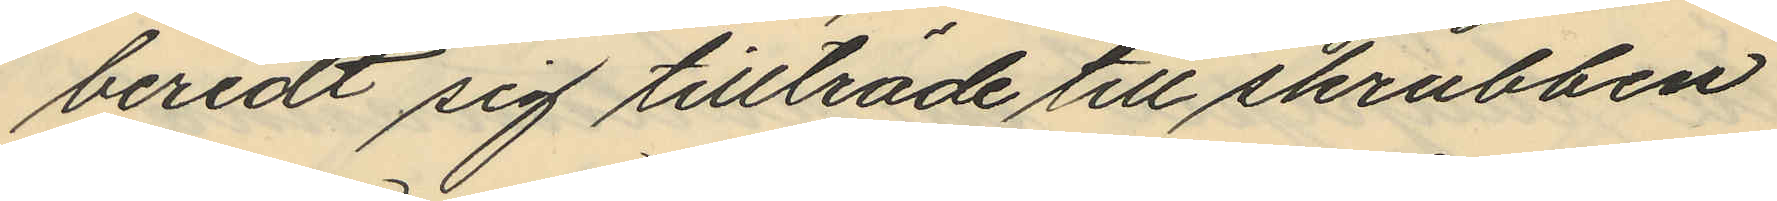beredt sig tillträde till skrubben
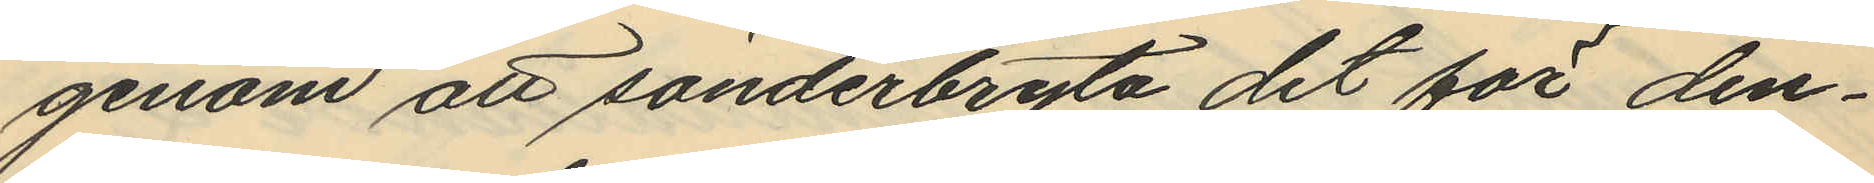genom att sönderbryta det för den¬
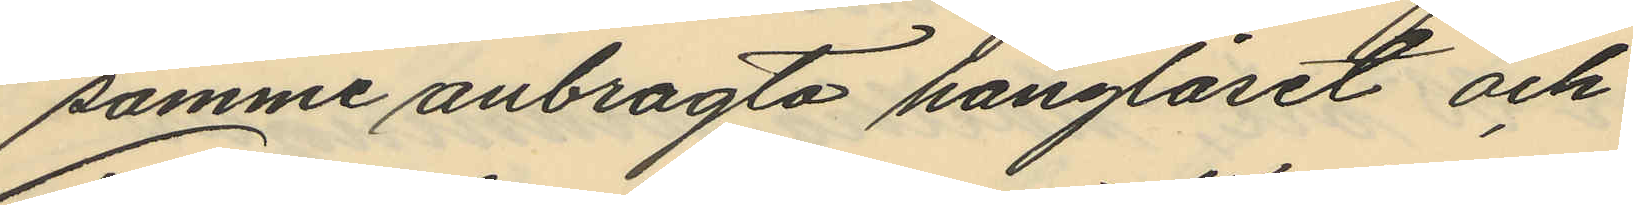samme anbragta hänglåset och
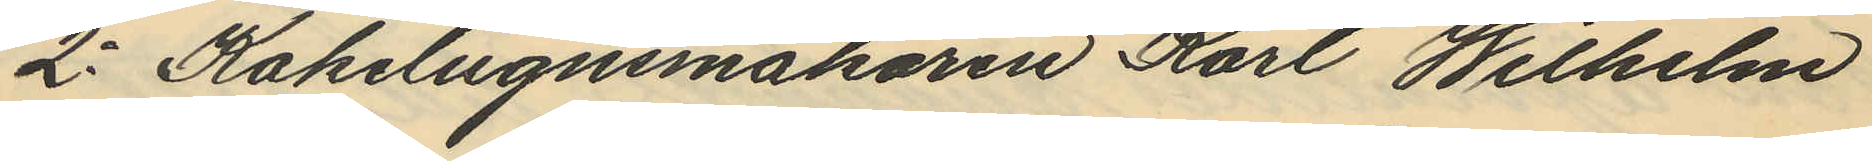2o Kakelugnsmakaren Karl Wilhelm
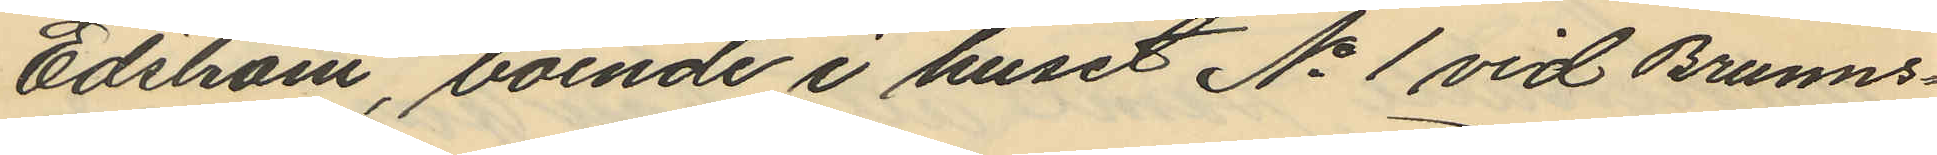Edström, boende i huset No 1 vid Brunns¬
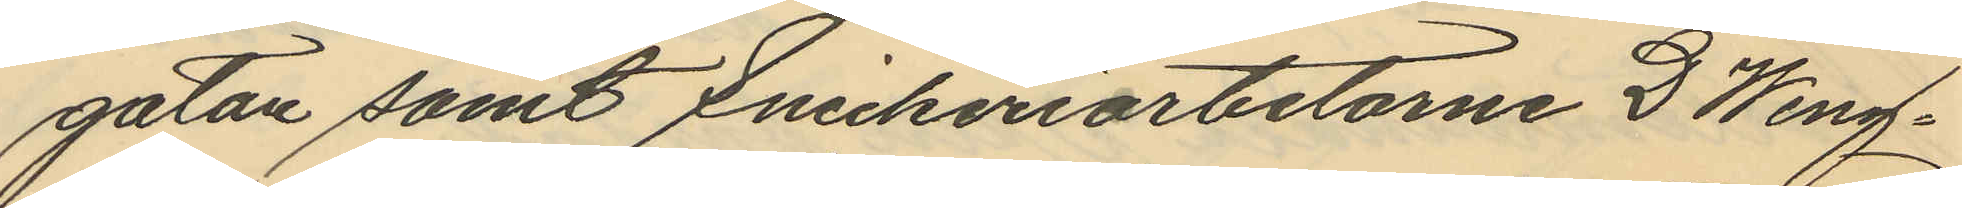gatan samt Snickeriarbetarne D Weng¬
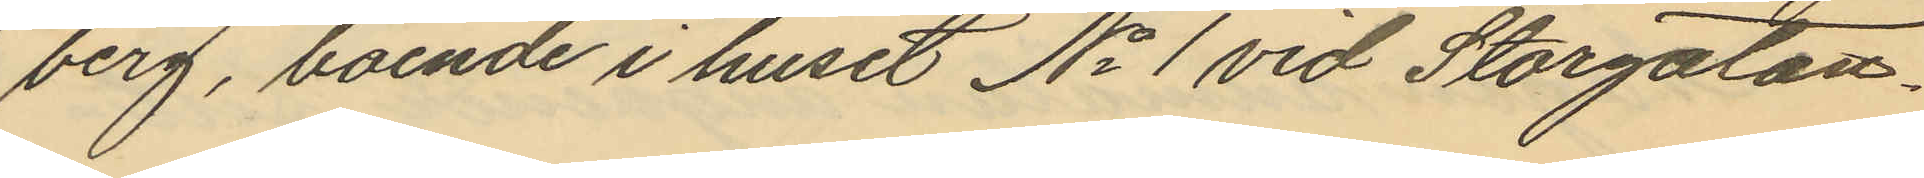berg, boende i huset No 1 vid Storgatan.
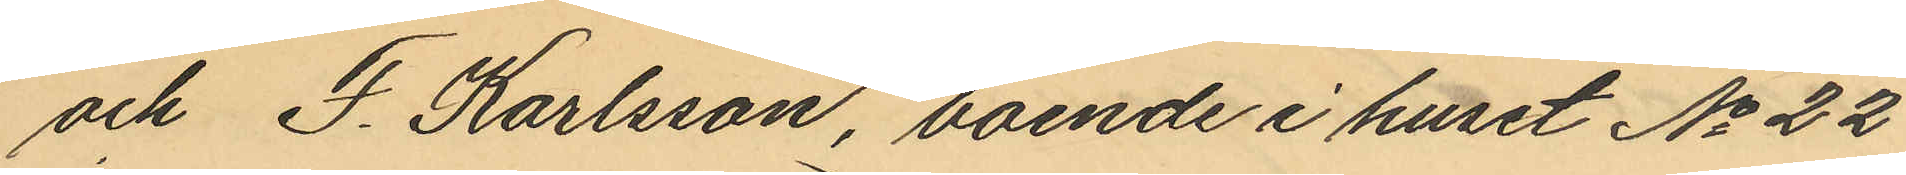och F. Karlsson, boende i huset No 22
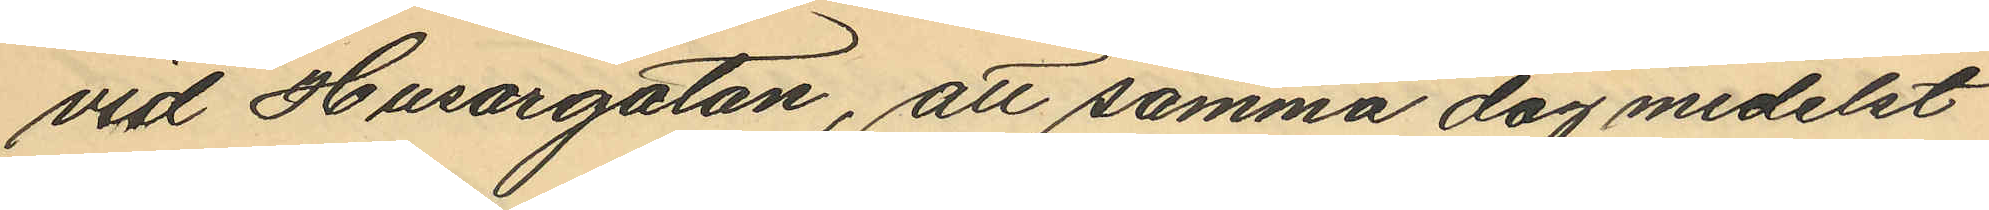vid Husargatan, att samma dag medelst
